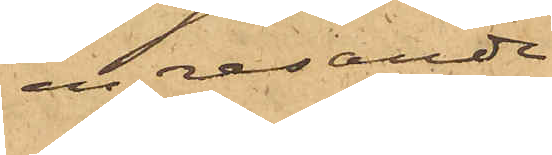en resande
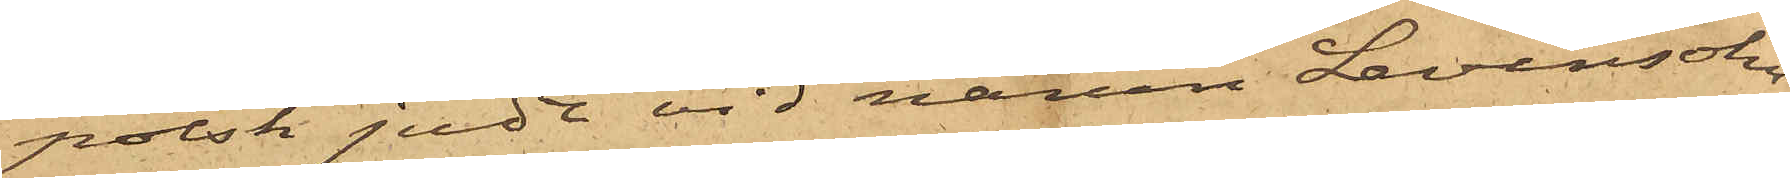polsk jude vid namn Levinsohn,
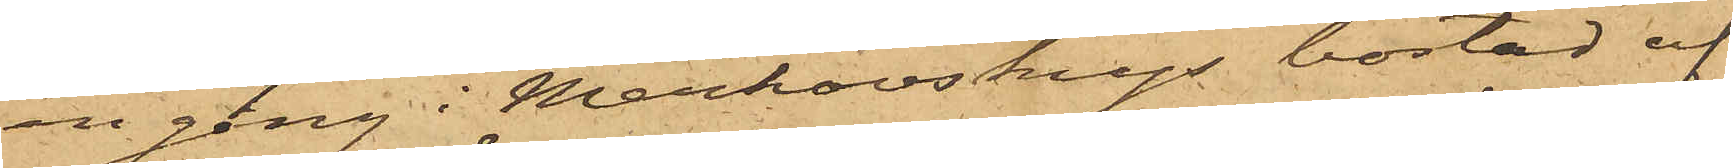en gång i Merkovskys bostad af
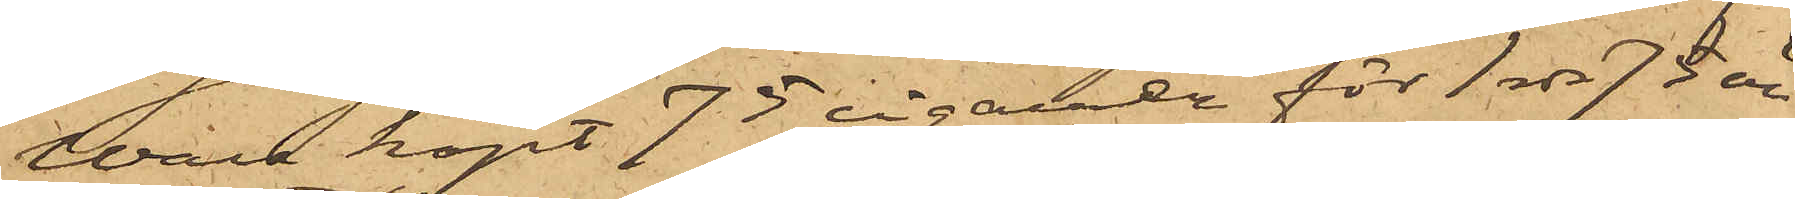Wall köpt 75 cigarrer för 1 rdr 75 öre
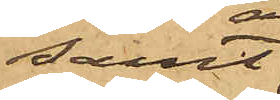samt
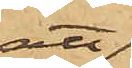att
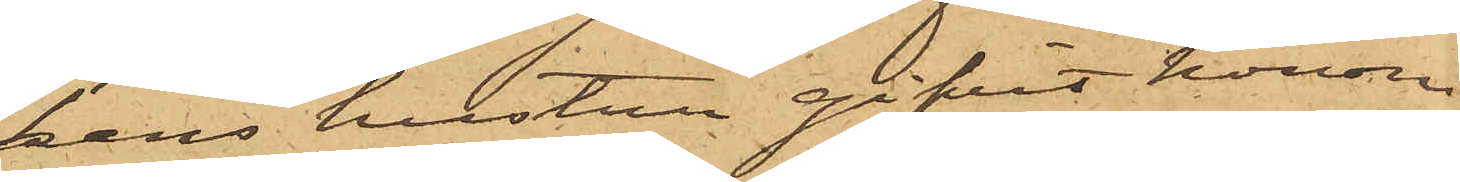hans hustru gifvit honom
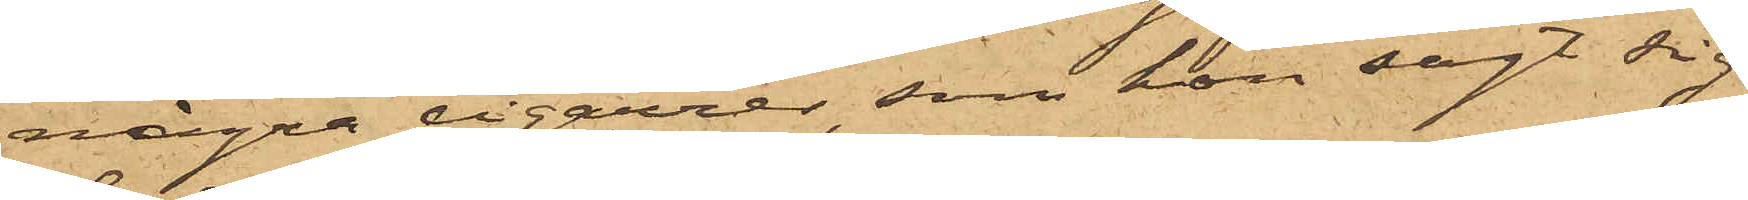några cigarrer, som hon sagt sig
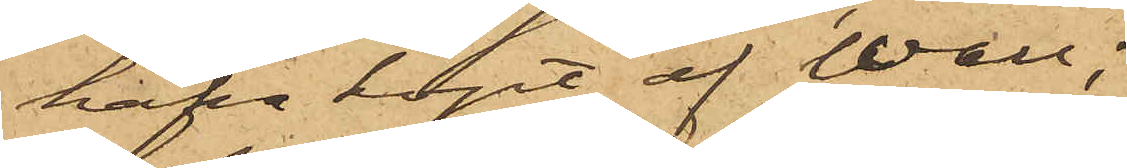hafva köpt af Wall;
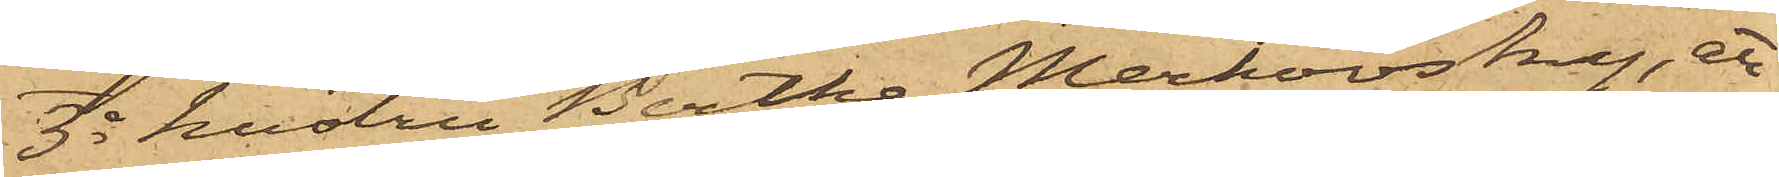3o hustru Bertha Merkovsky, att
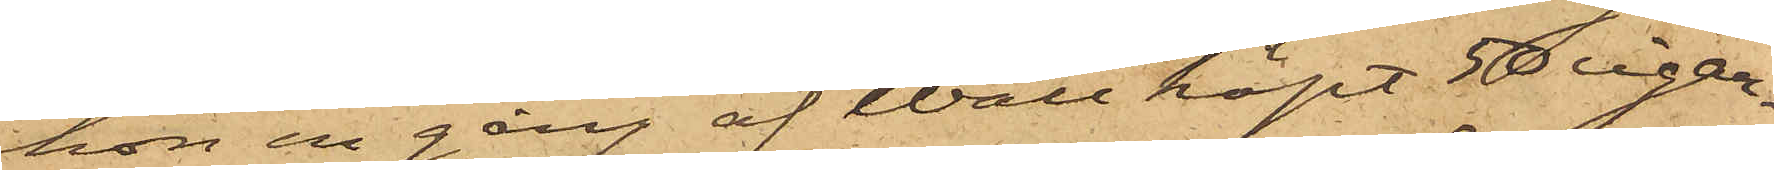hon en gång af Wall köpt 50 cigar¬
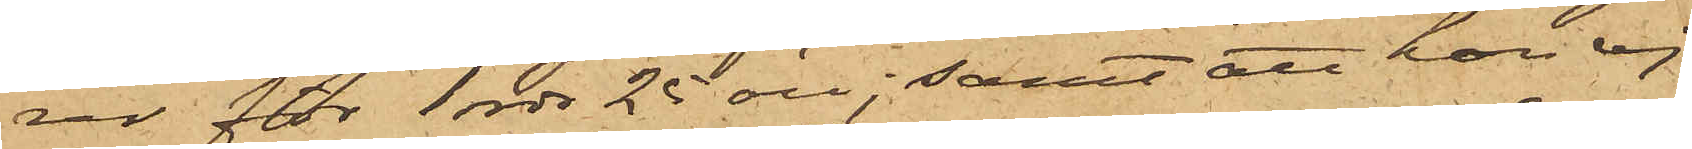rar för 1 rdr 25 öre; samt att hon ej
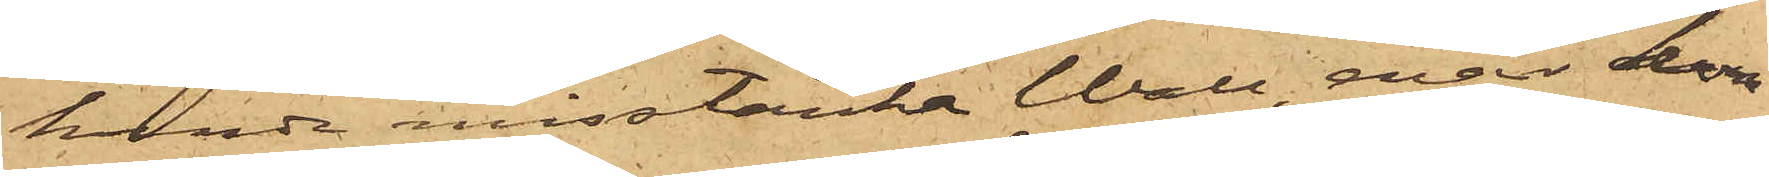kunde misstänka Wall, enär hon
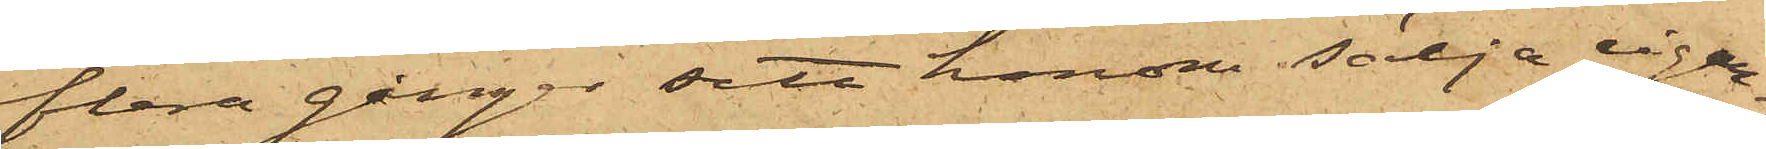flera gånger sitt honom sälja cigar¬
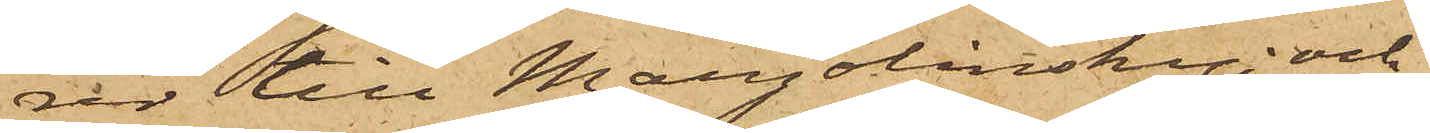rer till Margolinsky; och
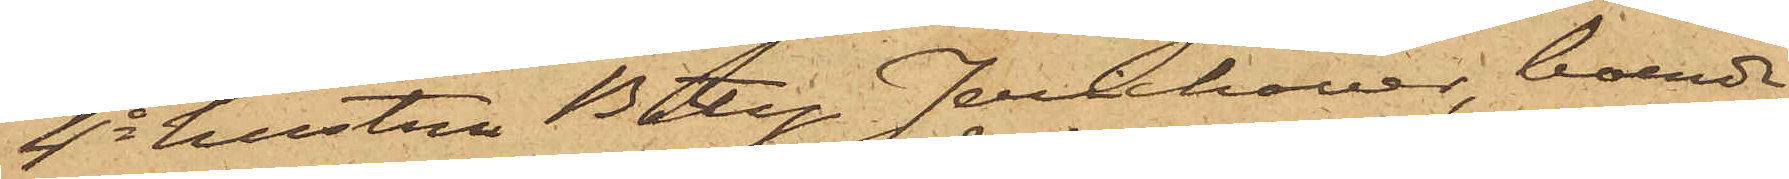4o hustru Betty Jerichow, boende
